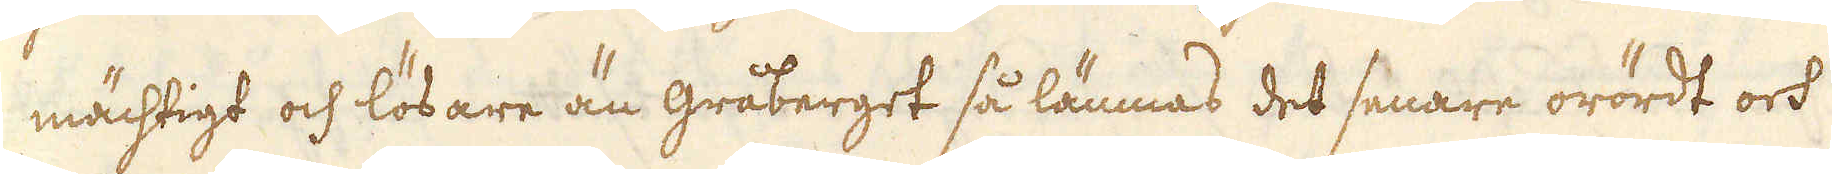mächtigt och lösare än gråberget så lämnas det senare orördt och
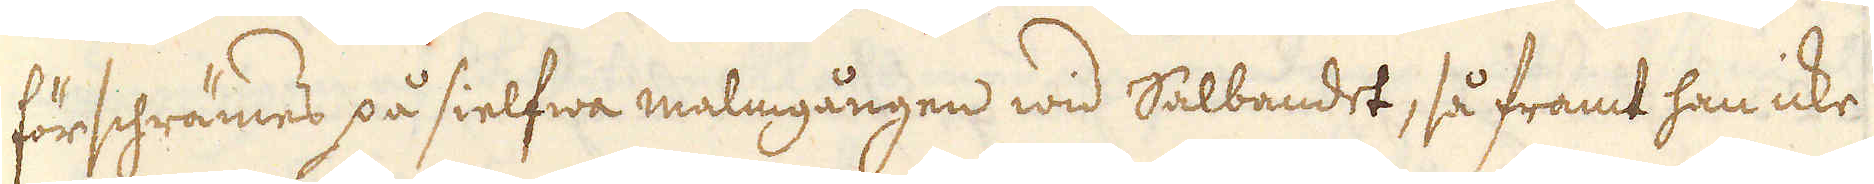förschrämes på sielfwa malmgången wid Salbandet, så framt han icke
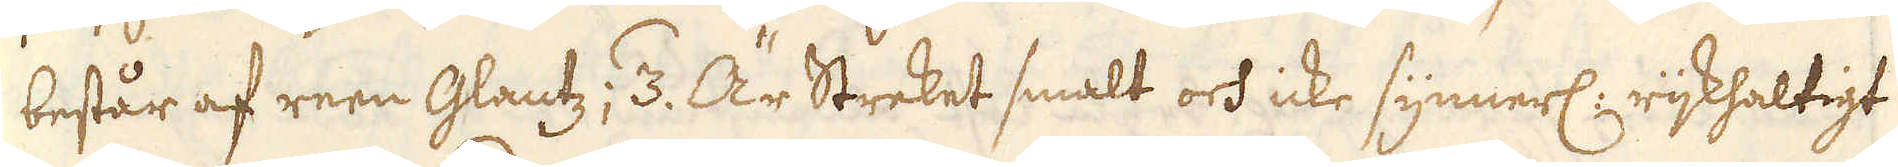består af reen Glantz; /3. Är Streket smalt och icke synnerl: rijkhaltigt
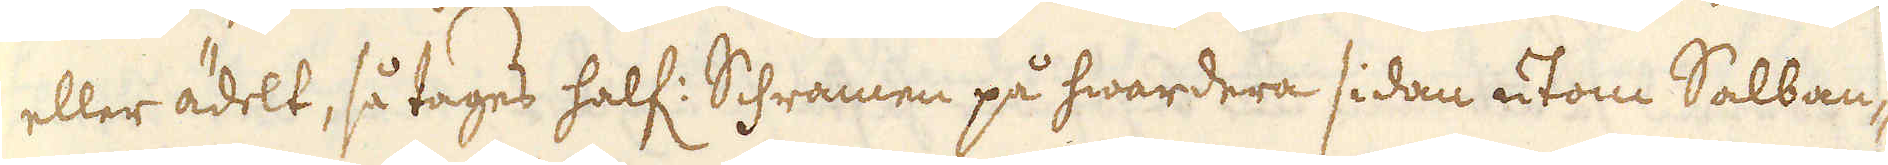eller ädelt, så tages half: Schramen på hwardera sidan utom Salban-
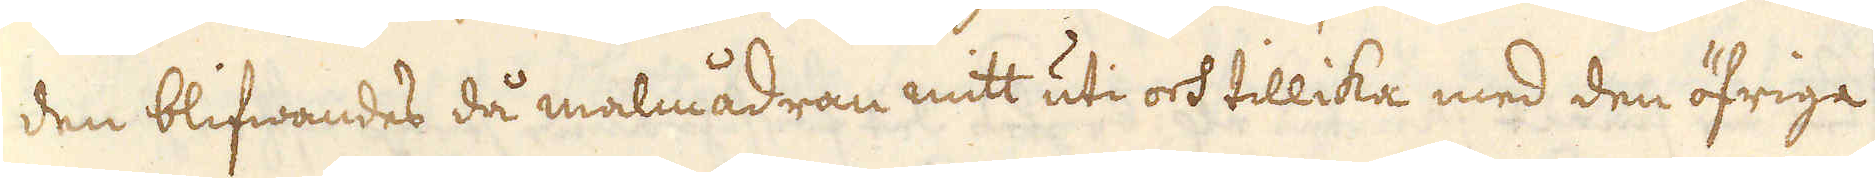den blifwandes då malmådran mitt uti och tillika med den öfriga
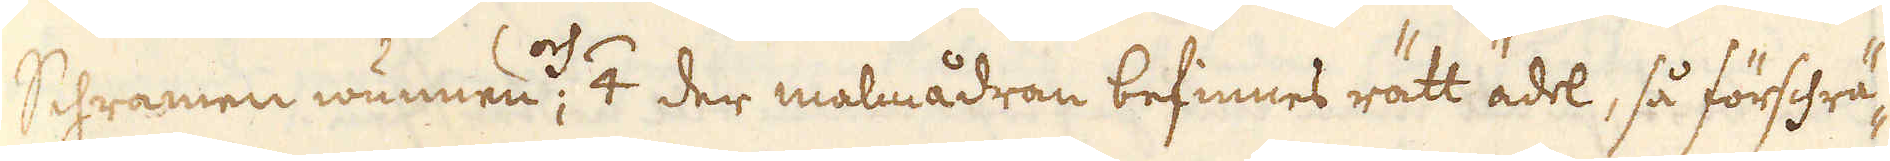Schramen wunnen och /4 der malmådran befinnes rätt ädel, så förschrä-
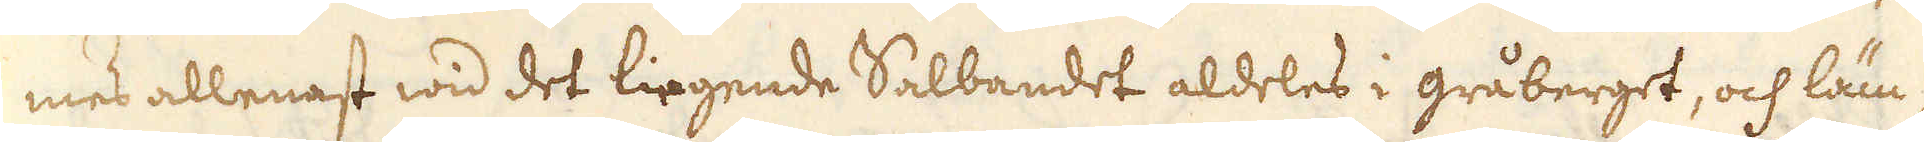mes allenast wid det liegende Salbandet aldeles i gråberget, och läm-
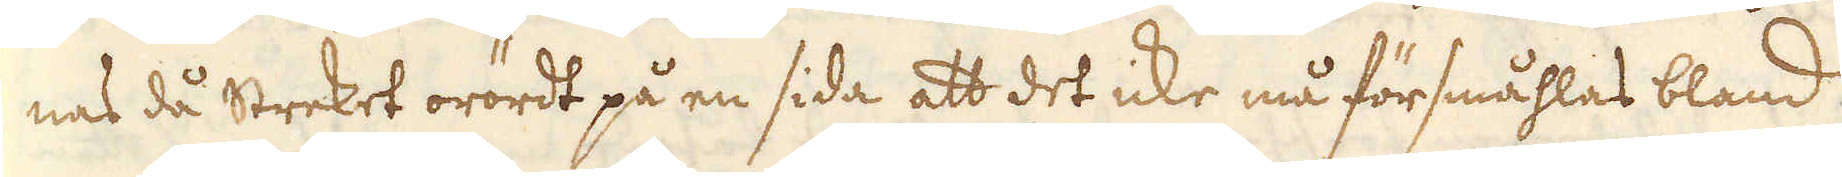nas då Streket orördt på en sida att det icke må försmåhlas bland
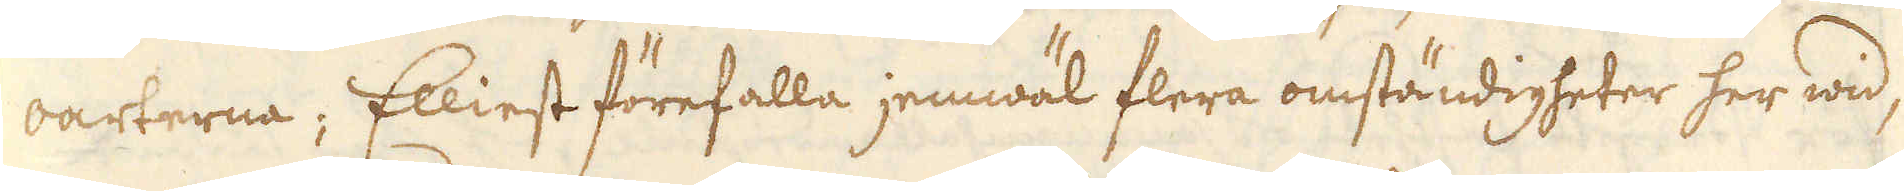oarterna; Elliest förefalla jemwäl flera omständigheter her wid,
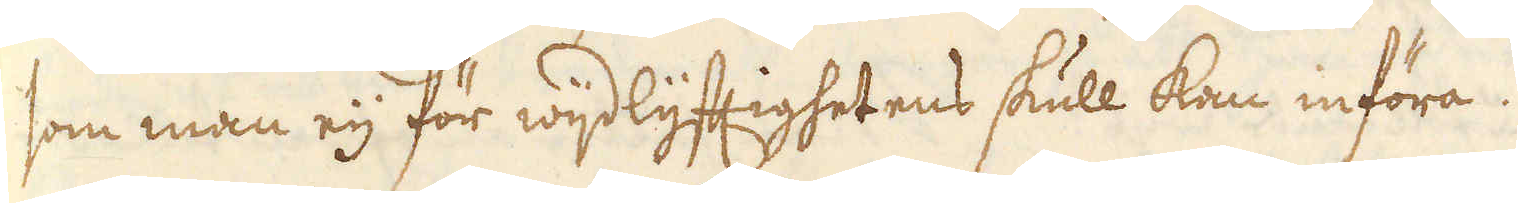som man eij för wijdlyftighetens skull kan införa.
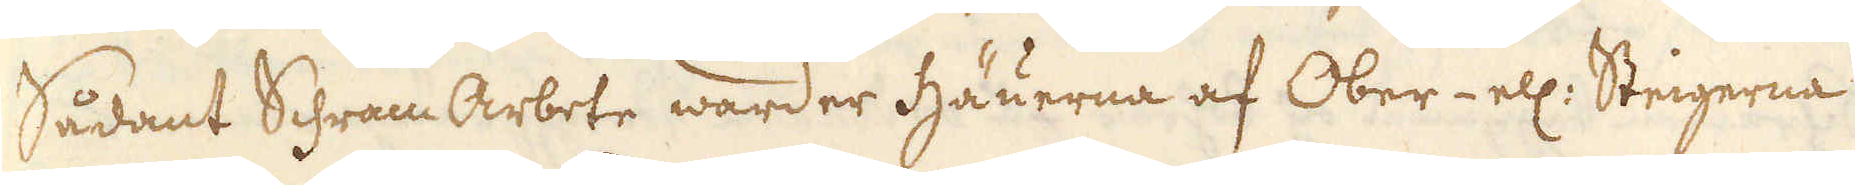Sådant Schram Arbete warder Häuerna af Ober- ell: Steigerna
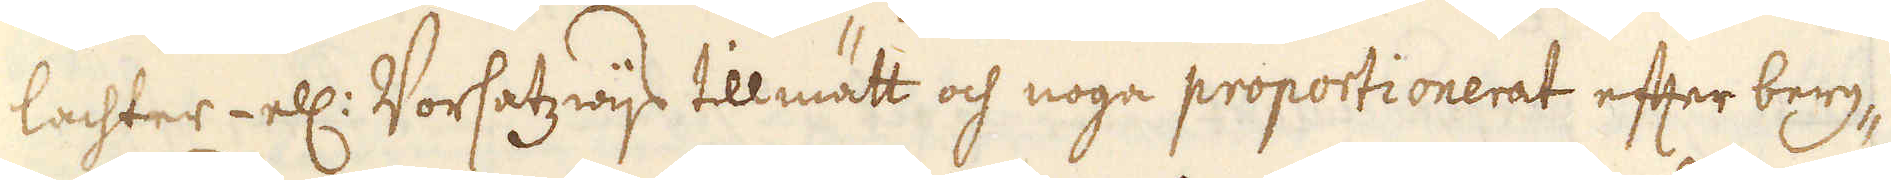lachter- ell: Vorsatzwijs tillmätt och noga proportionerat efter berg-
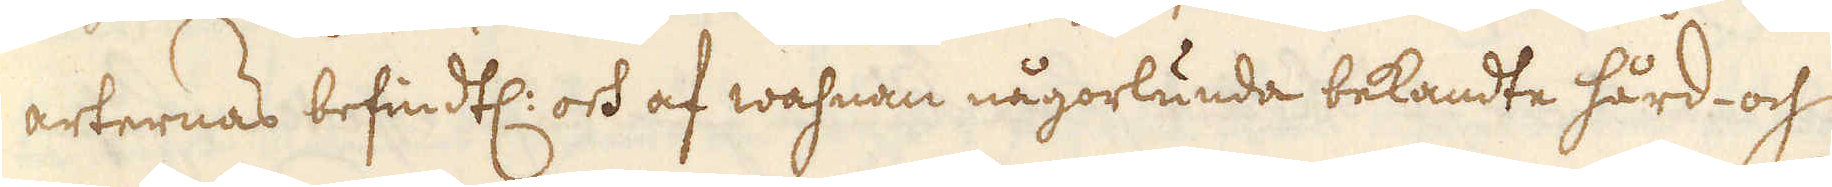arternas befindtl: och af wahnan någorlunda bekandte hård- och
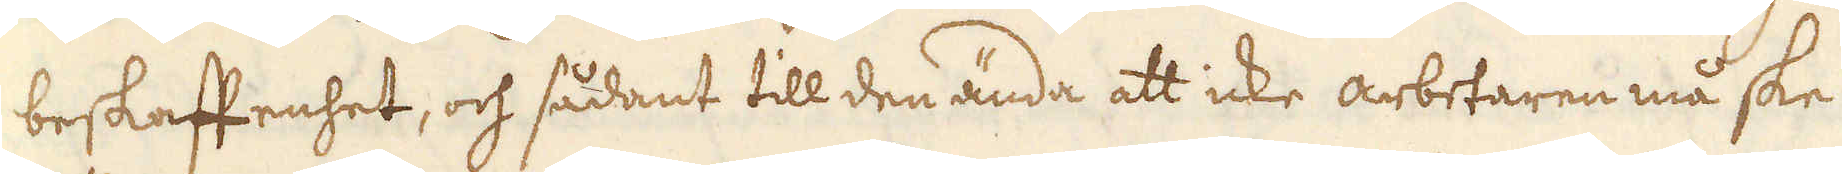beskaffenhet, och sådant till den ända att icke arbetaren må ske
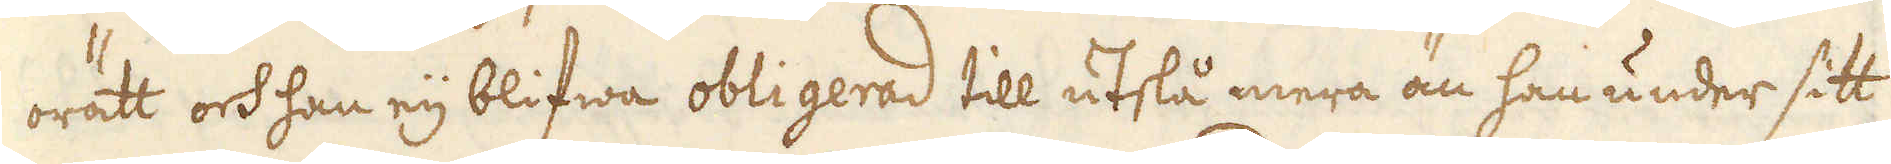orätt och han eij blifwa obligerad till utslå mera än han under sitt
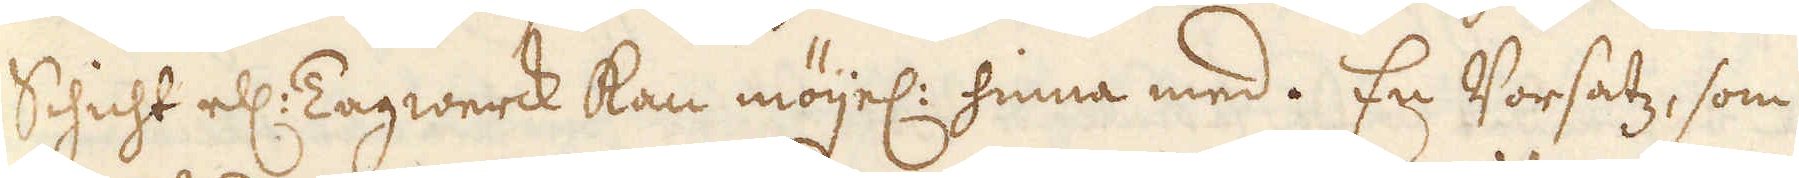Schicht ell: Tagwerck kan möijel: hinna med. En Vorsatz, som
